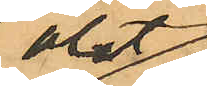ölet
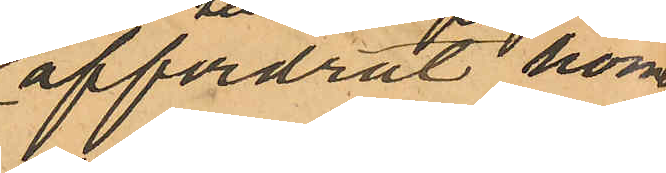affordrat honom
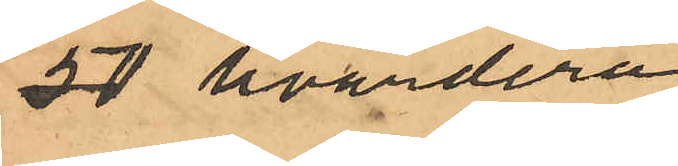50 hvardera
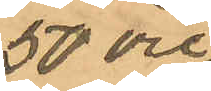50 öre
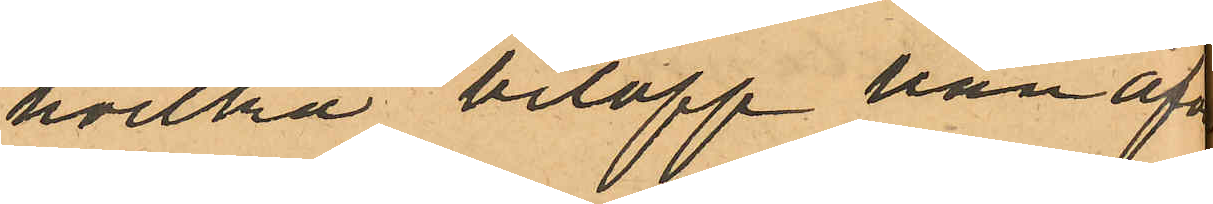hvilka belopp han af¬
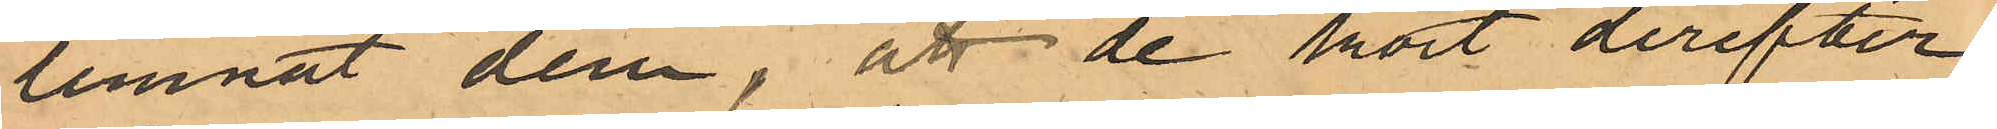lemnat dem, att de kort derefter
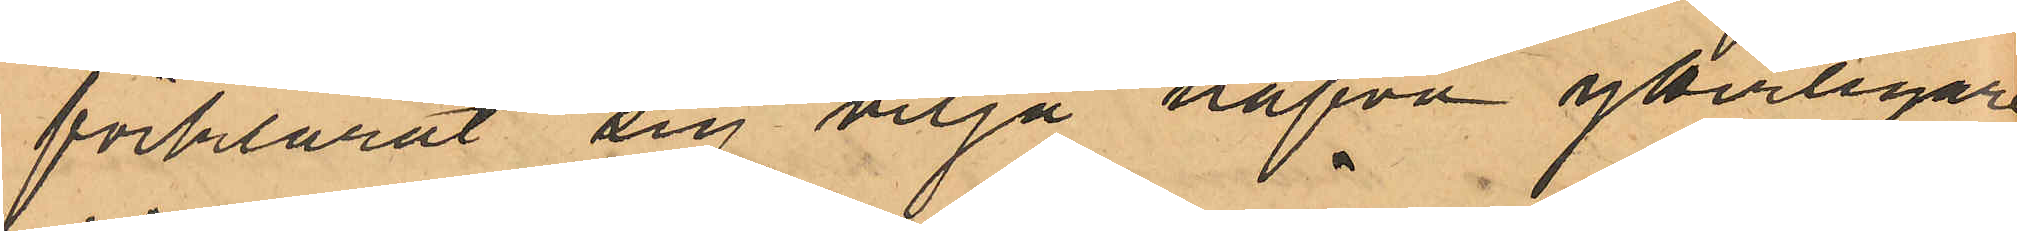förklarat sig vilja hafva ytterligare
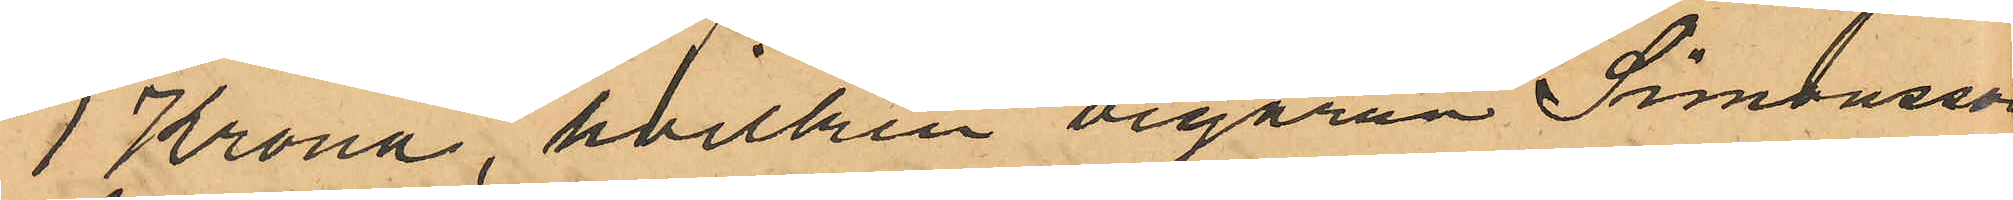1 Krona, hvilken begäran Simonsson
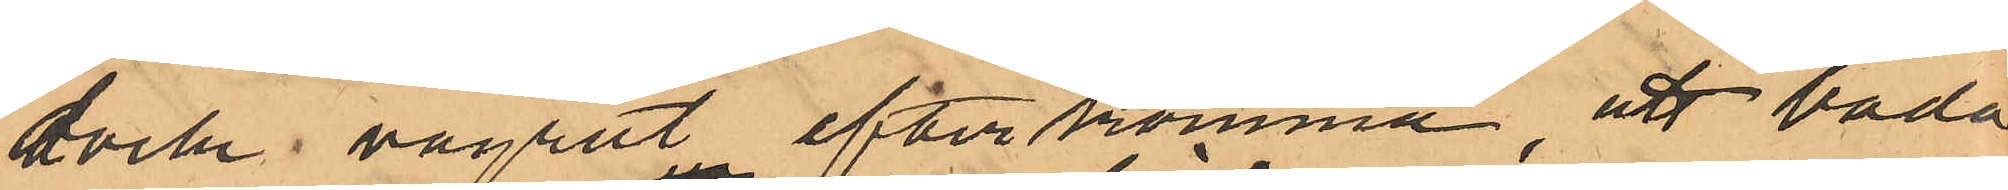dock vägrat efterkomma, att båda
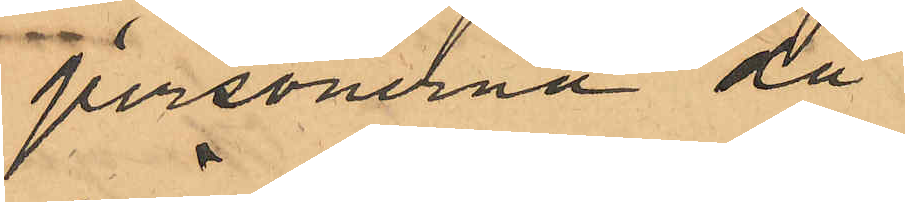personerna då
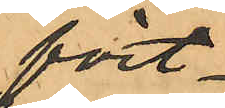fört
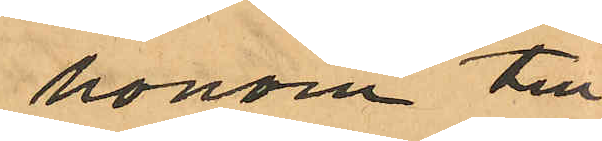honom till
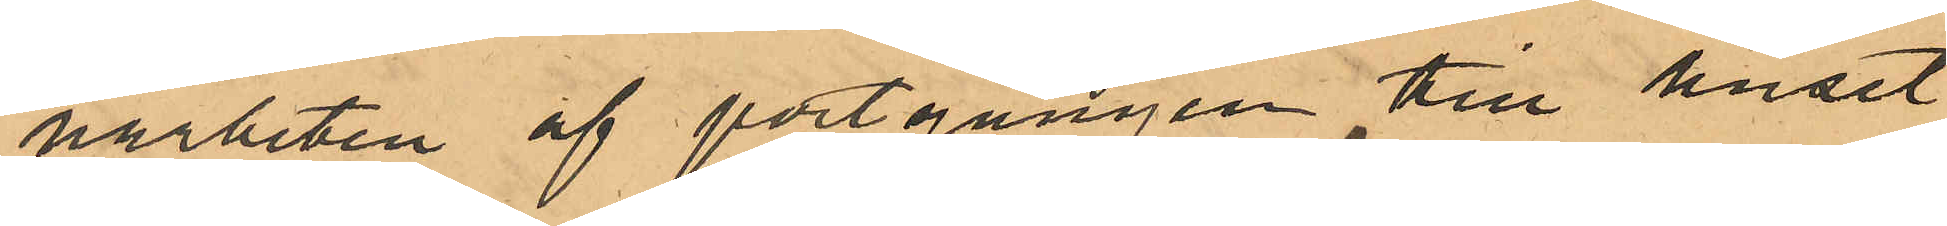närheten af portgången till huset
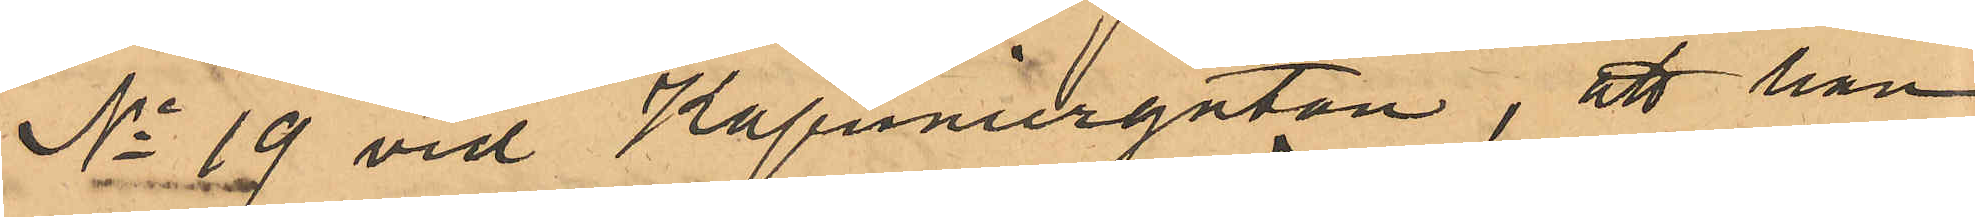No 19 vid Kapuniergatan, att han
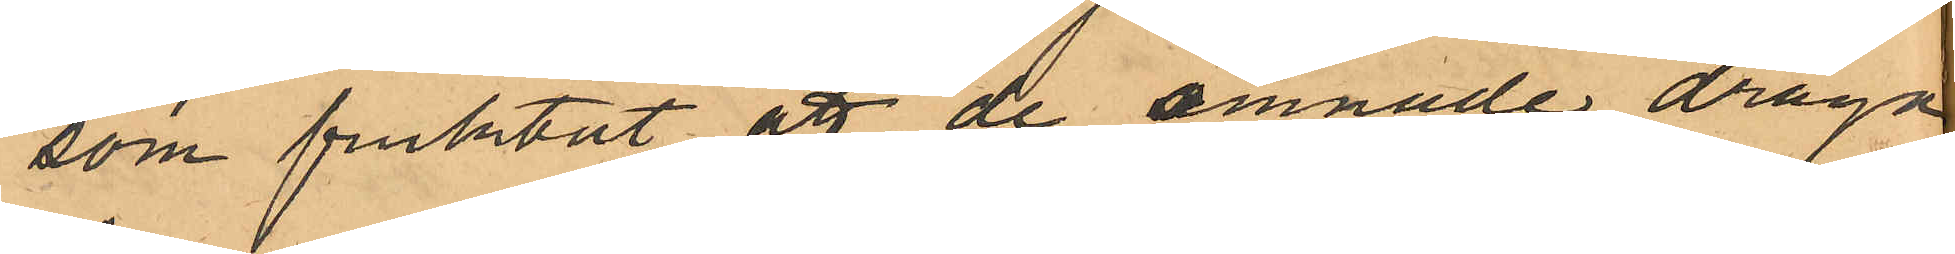som fruktat att de ämnade draga
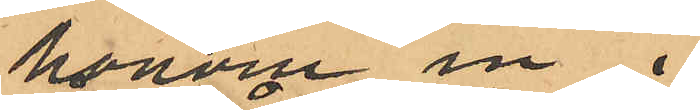honom in i
